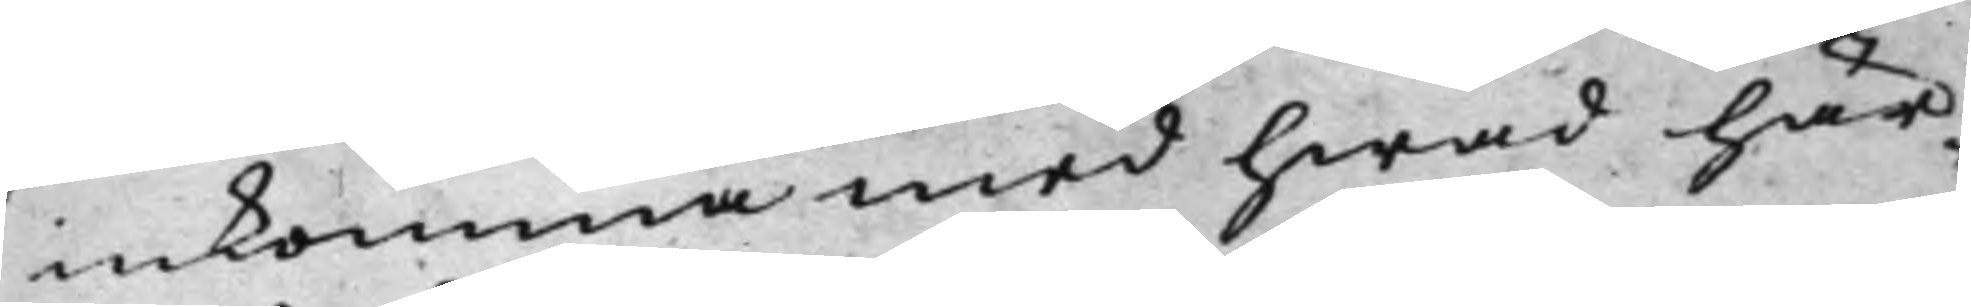inkomma med hwad här¬
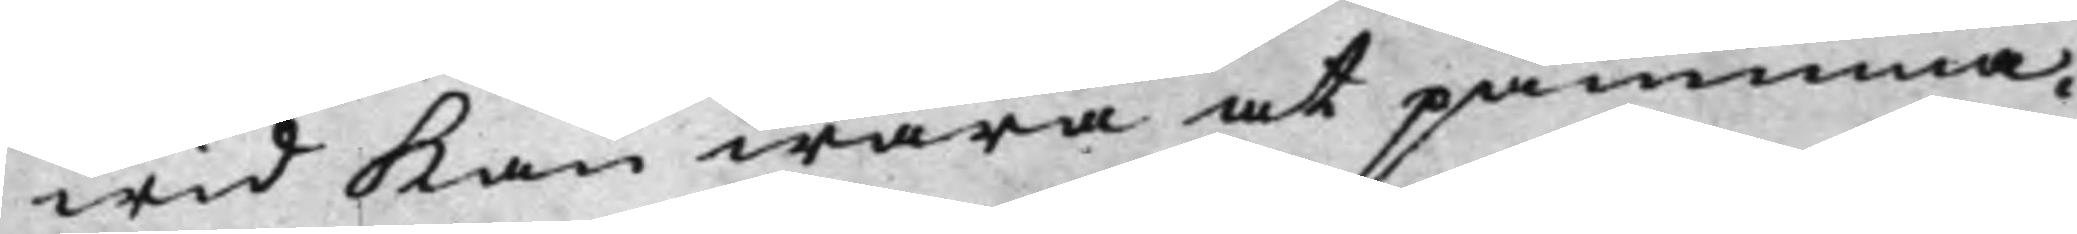wid Kan wara at påminna.
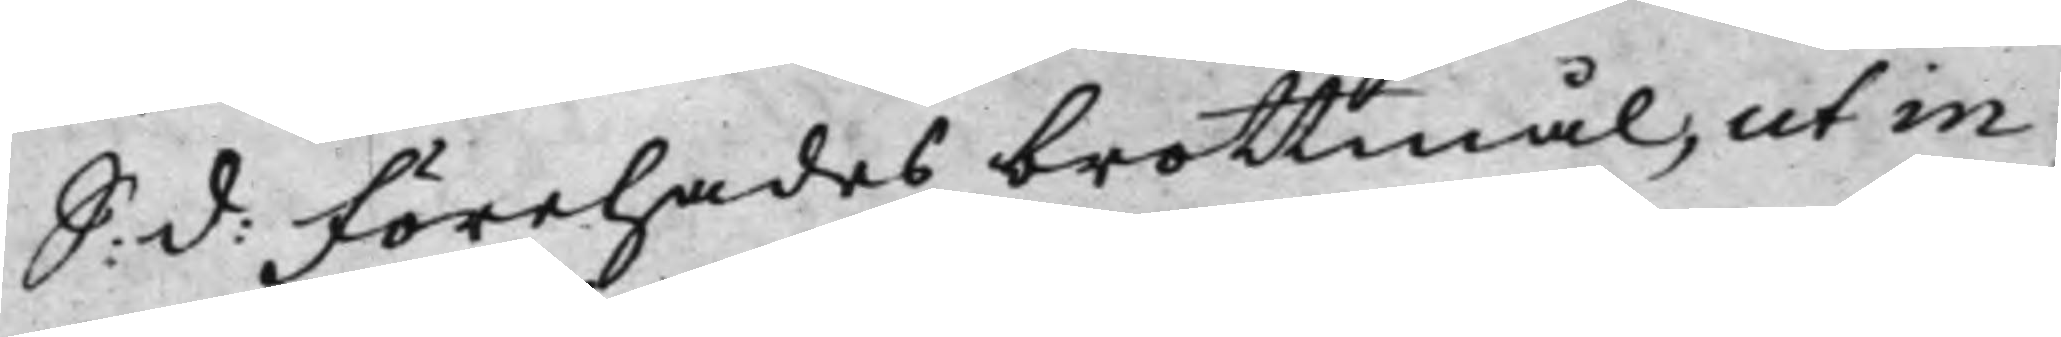S: d: Förehades brottmål, ut in 
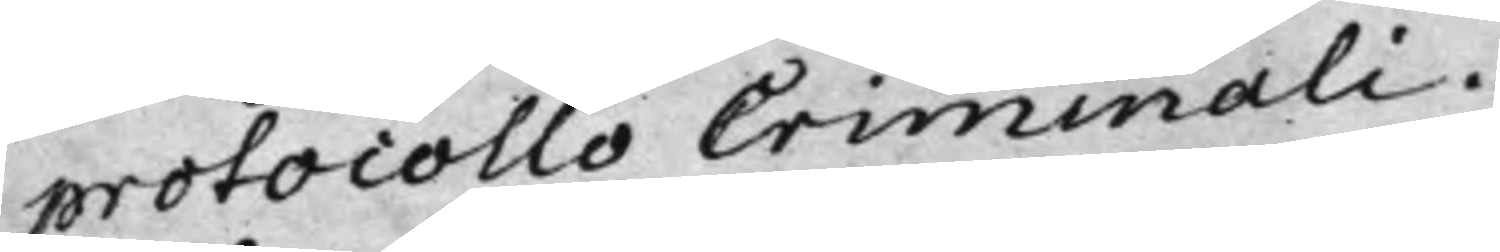protocollo Criminali.
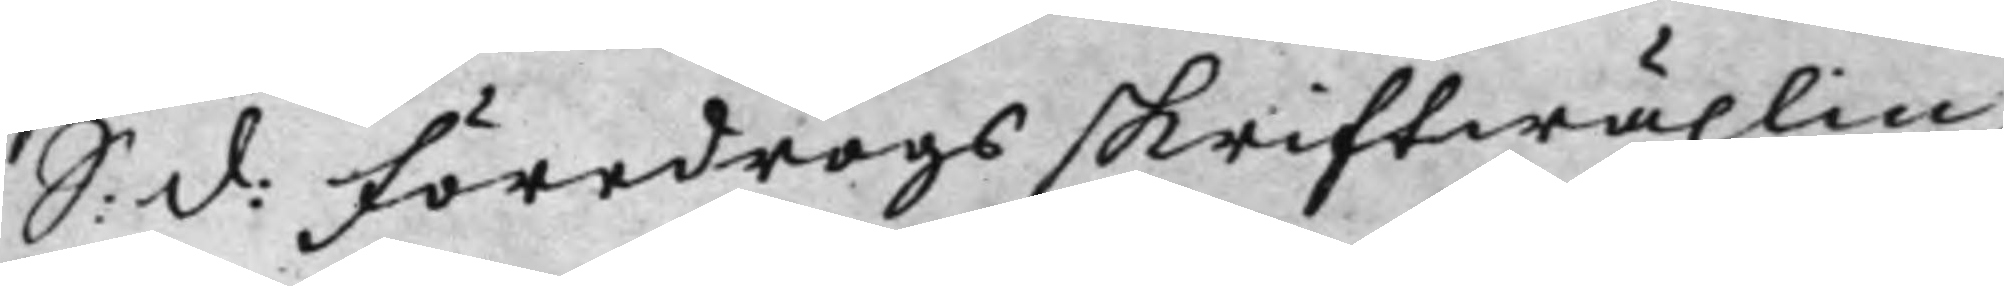S: d: Föredrogs skriftwäxlin¬ 
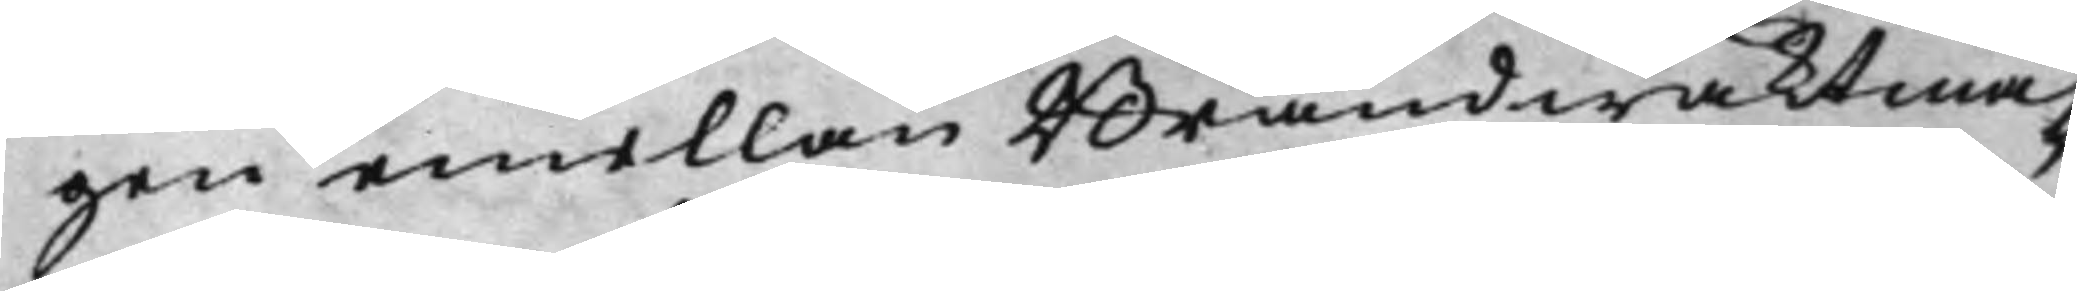gen emellan Brandwaktmä¬
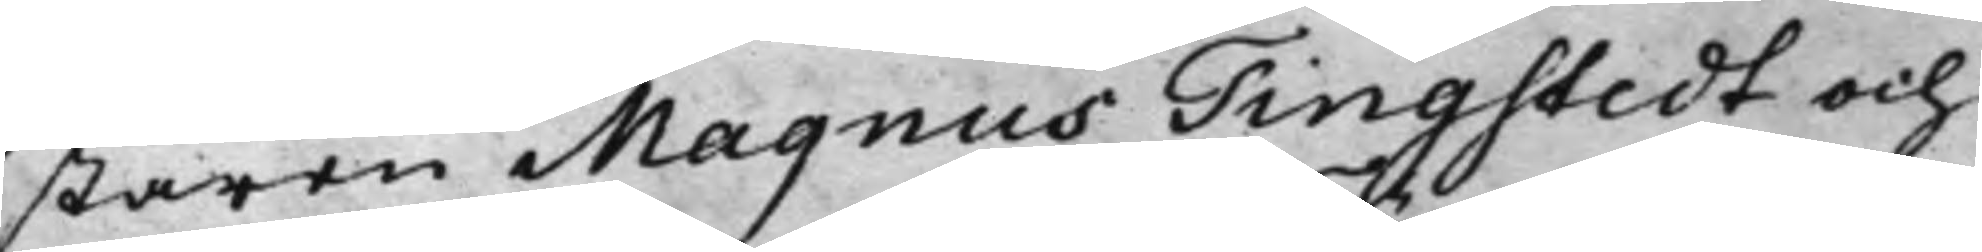staren Magnus Tingstedt och
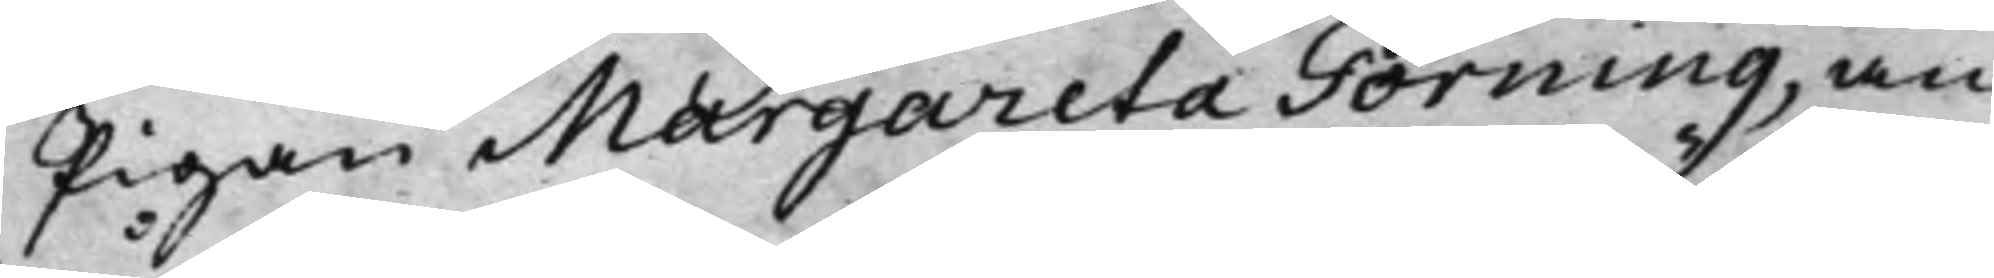Pigan Margareta Törning, an¬
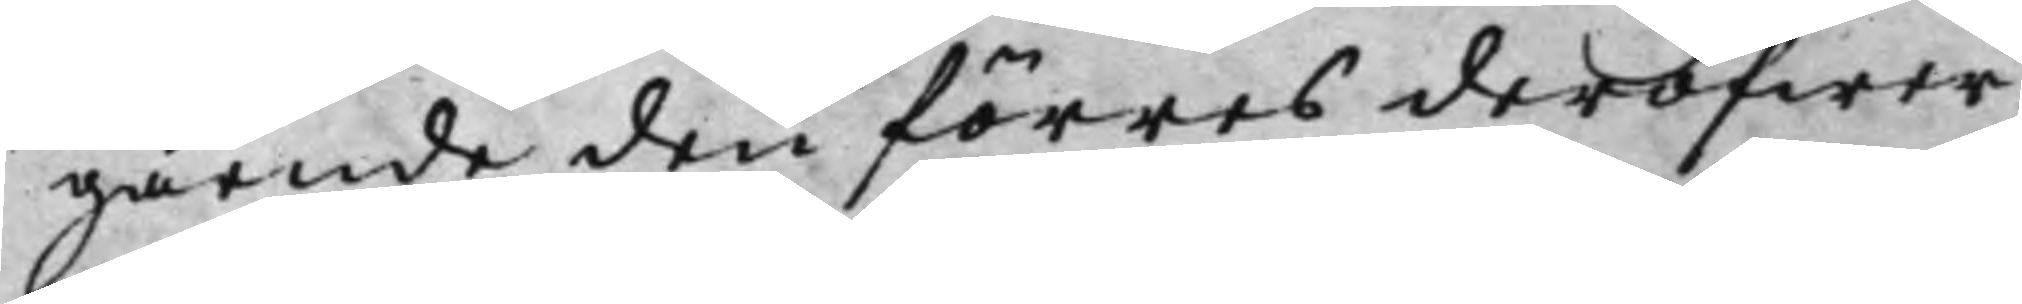gående den förres deröfwer
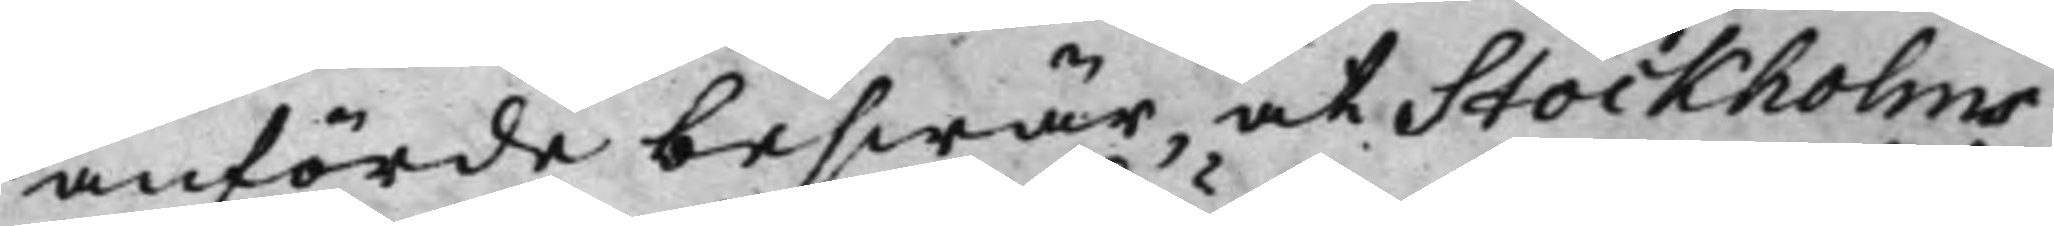anförde beswär, at Stockholms
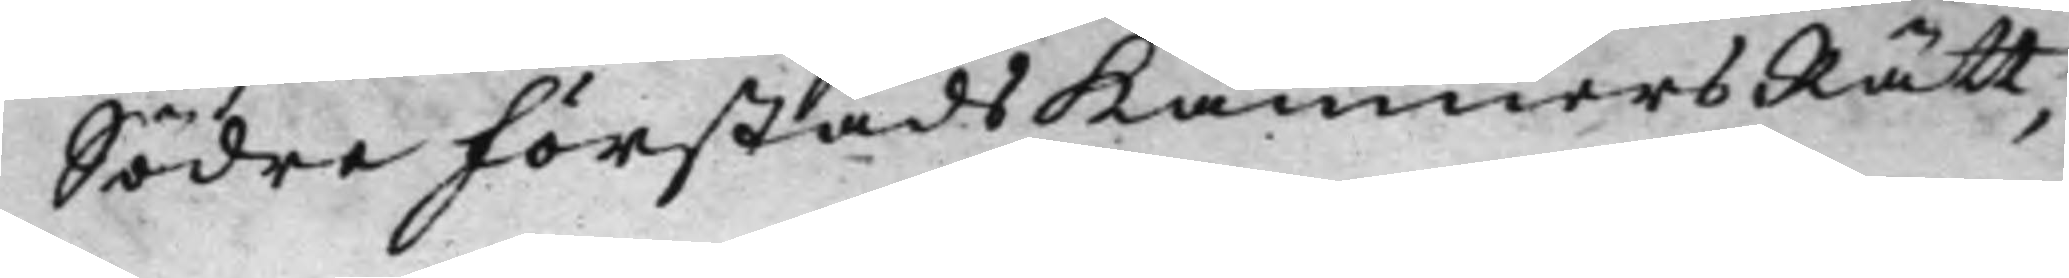Södre Förstads KämnersRätt,
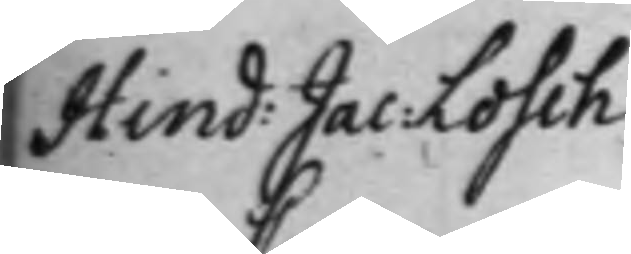Hind: Jac: Losch
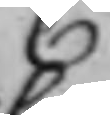C
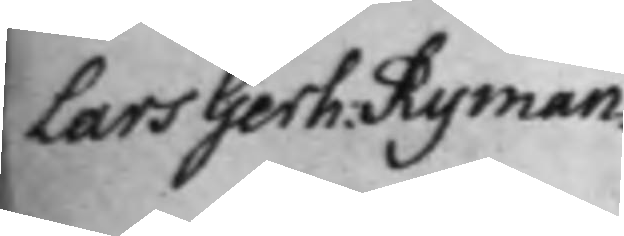Lars Gerh. Ryman.
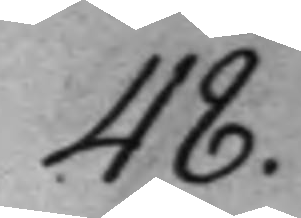48.
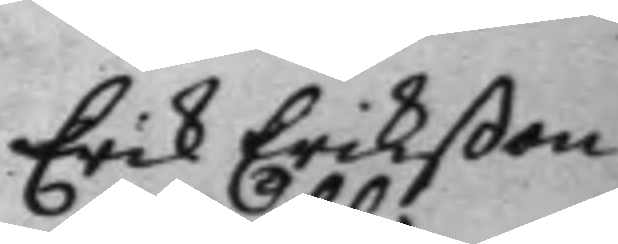Erik Erikßon
